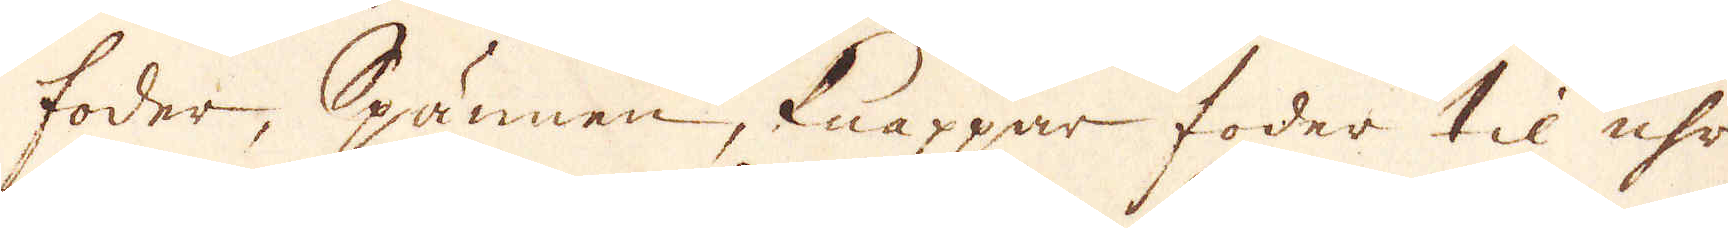foder, Spännen, knappar, foder til uhr
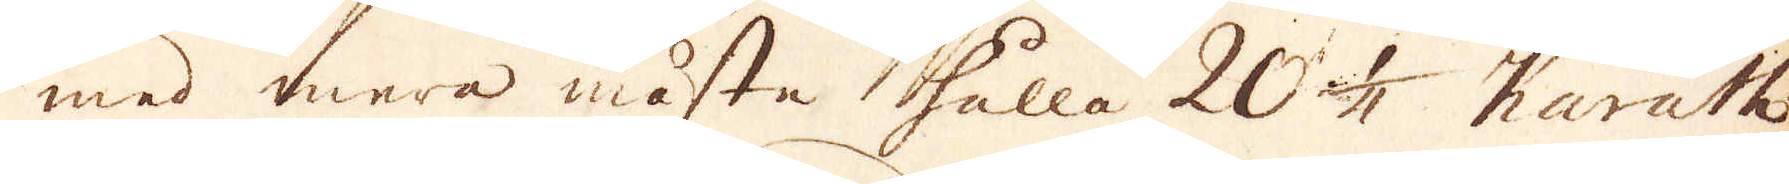med mera måste hålla 20 1/4 Karath
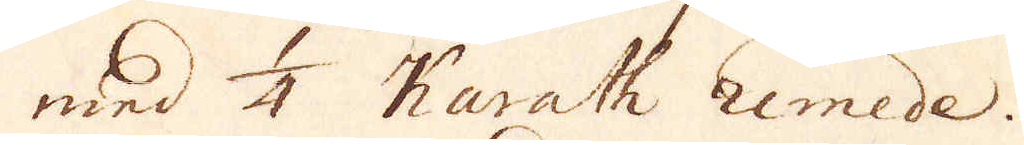med 1/4 Karath umede.
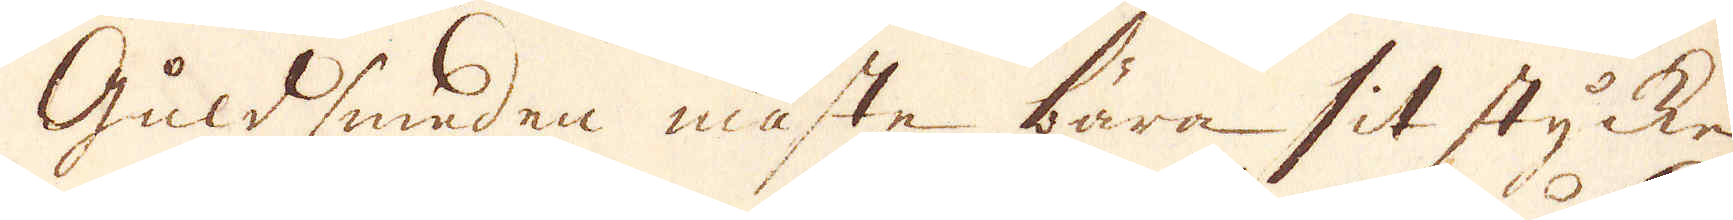Guldsmeden måste bära sitt stycke-
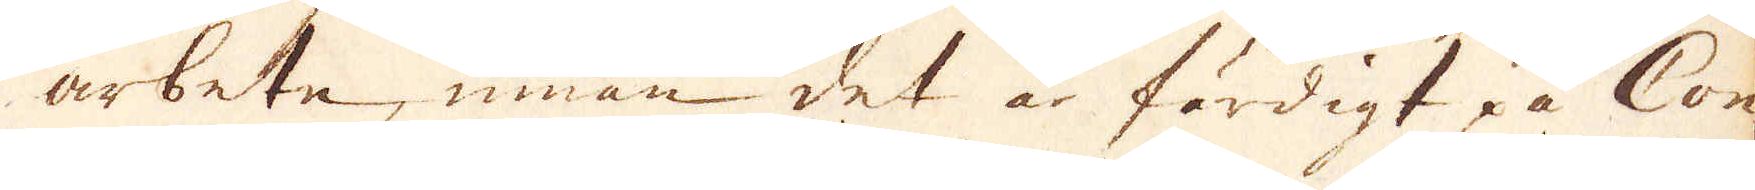arbeta, innan det är färdigt på Con-
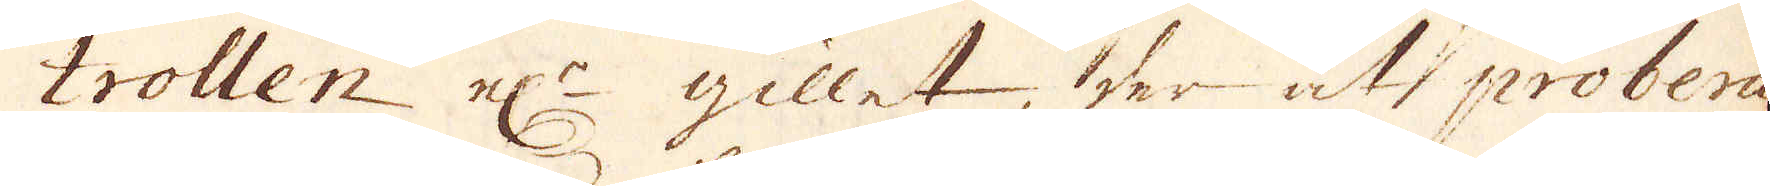trollen el:r gillet, der att probera
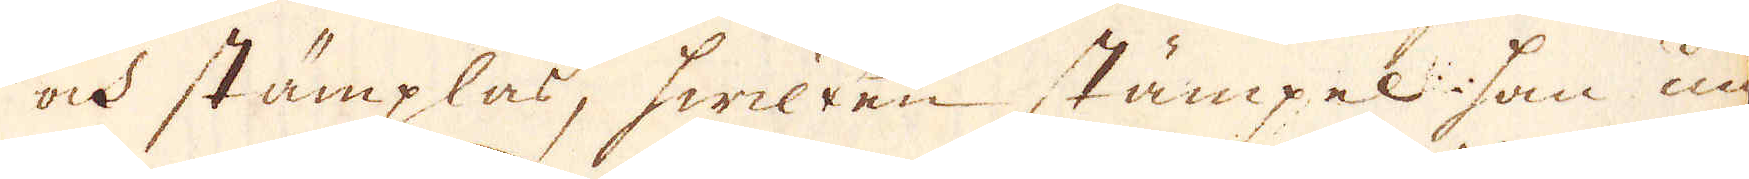ock stämplas, hwilken stämpel som un-
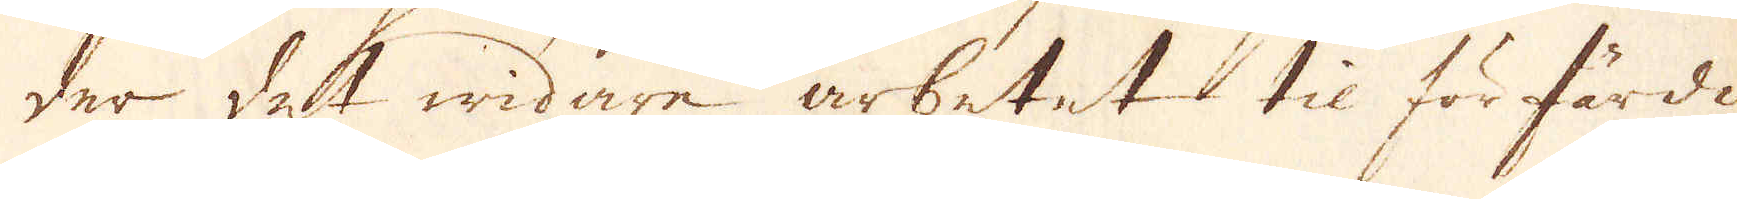der det widare arbetet til förfärdi-
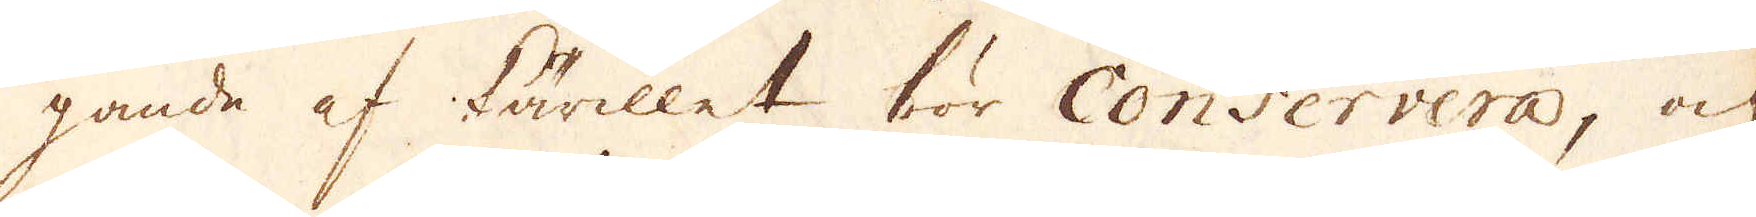gande af kärillet bör Conservera, och
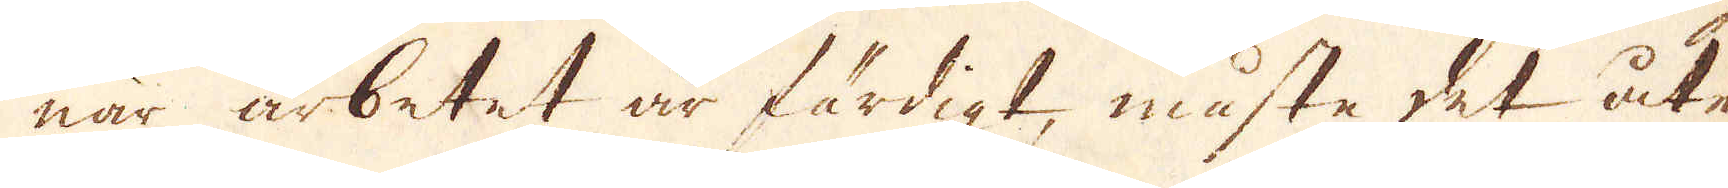när arbetet är färdigt, måsta det åter
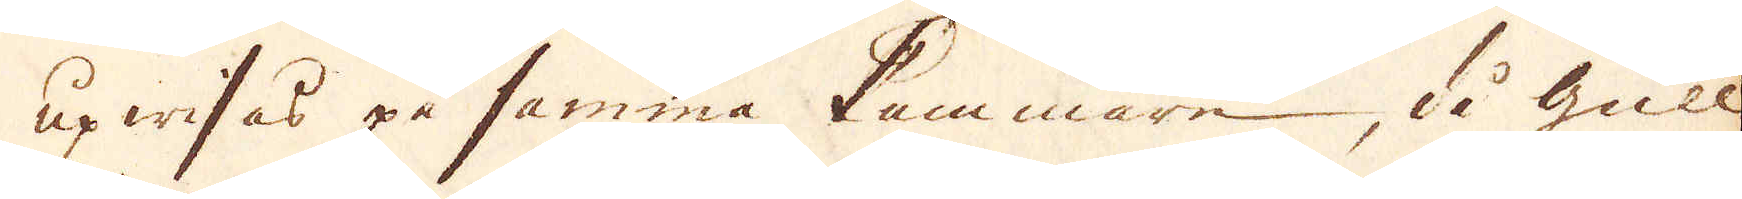upwisas på samma kammare, då Gull
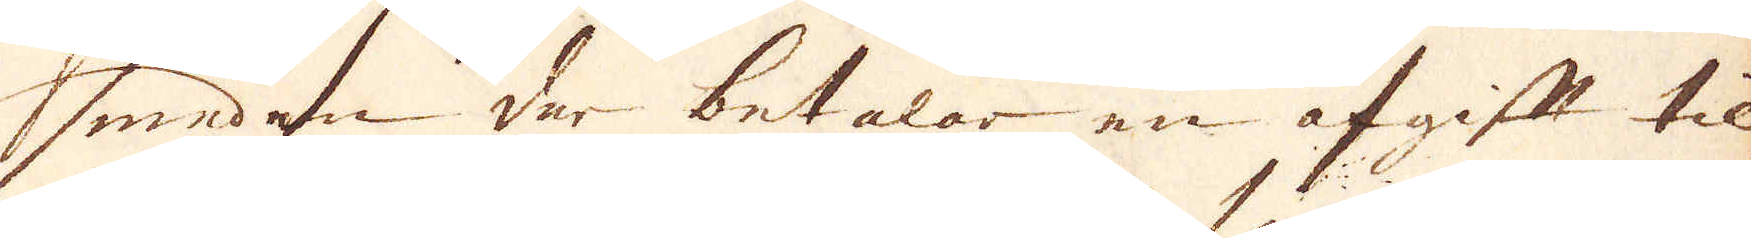sneden der betalar en afgift til
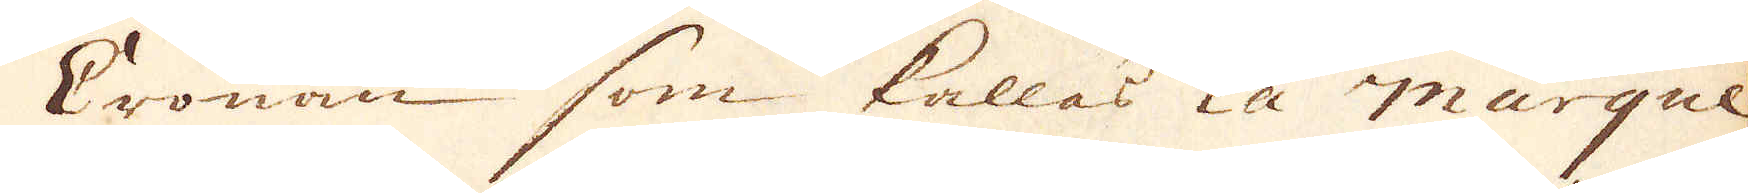Cronan som kallas la marque
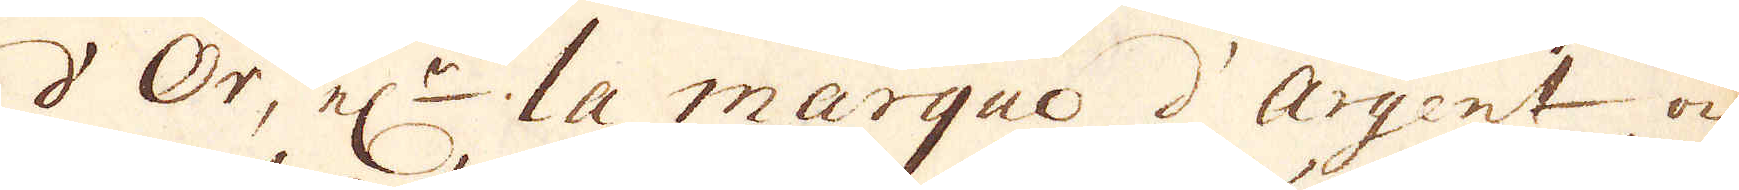d'Or, el:r la marque d'Argent och
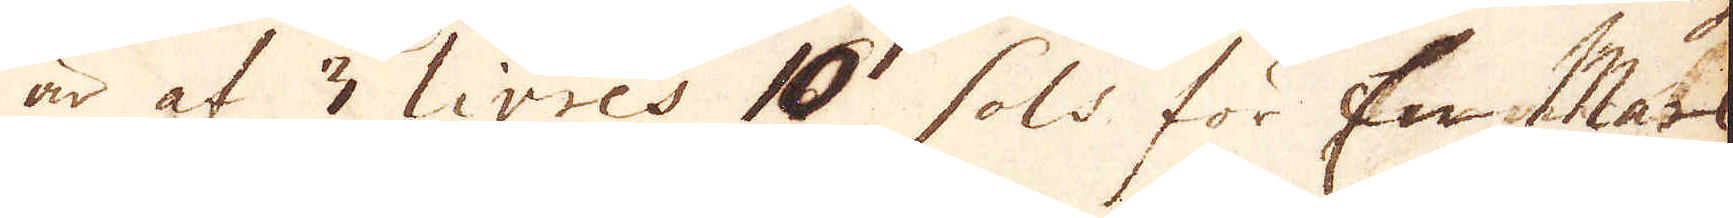är af 3 livres 10 sols för En Mark
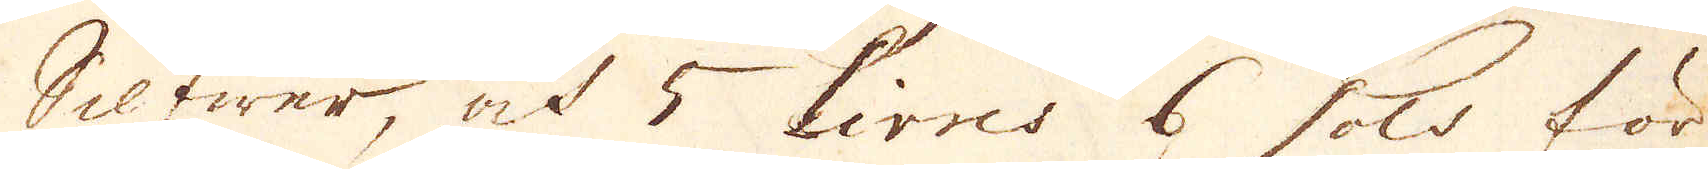Silfwer, at 5 livres 6 sols för
